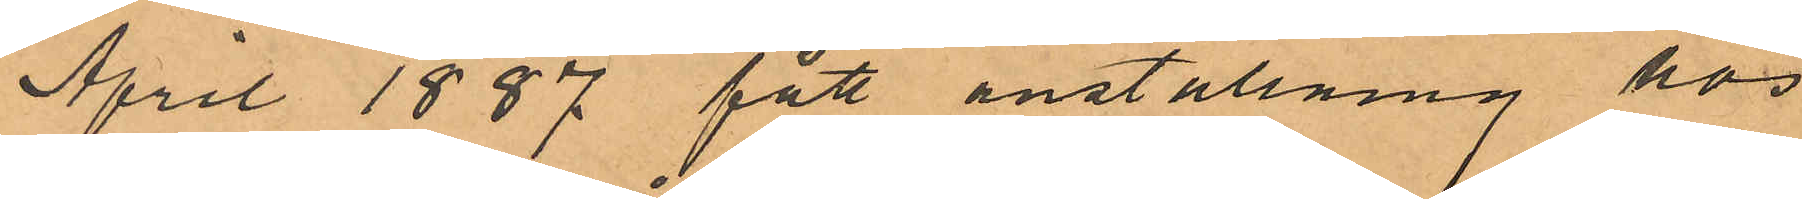April 1887 fått anställning hos
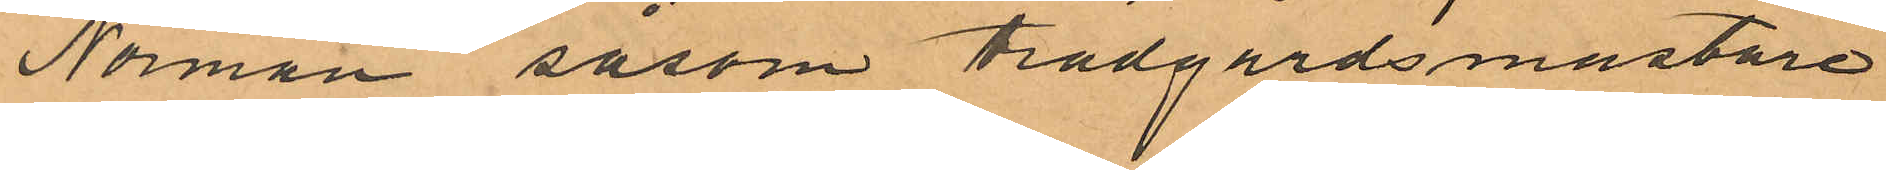Norman såsom trädgårdsmästare
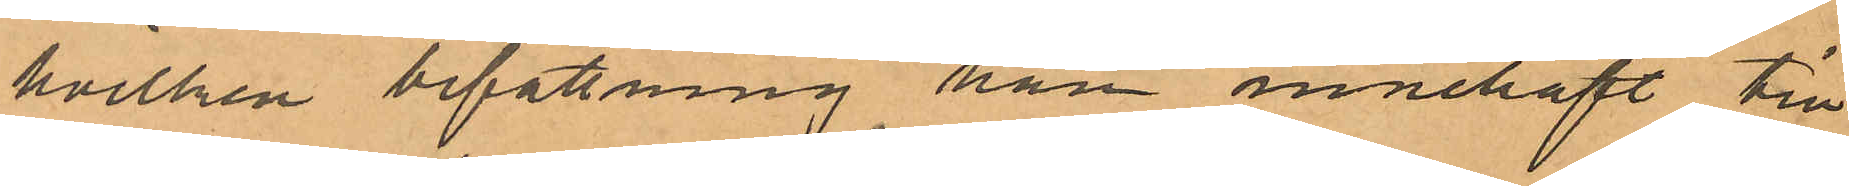hvilken befattning han innehaft till
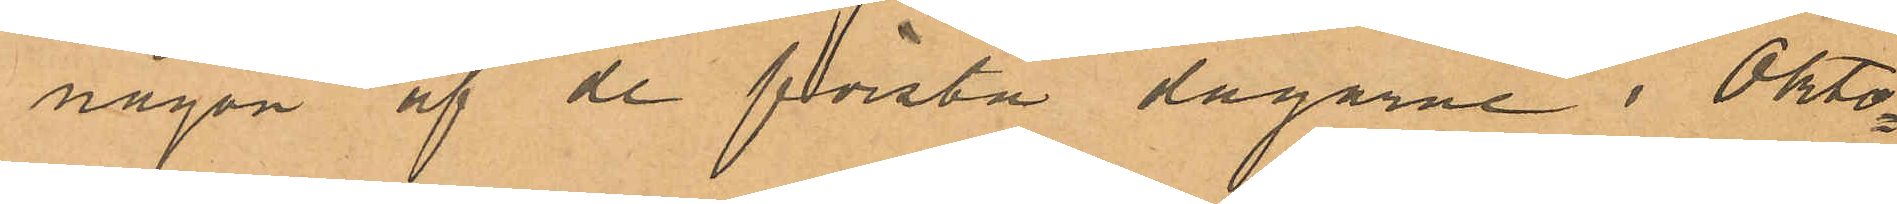någon af de första dagarne i Okto¬
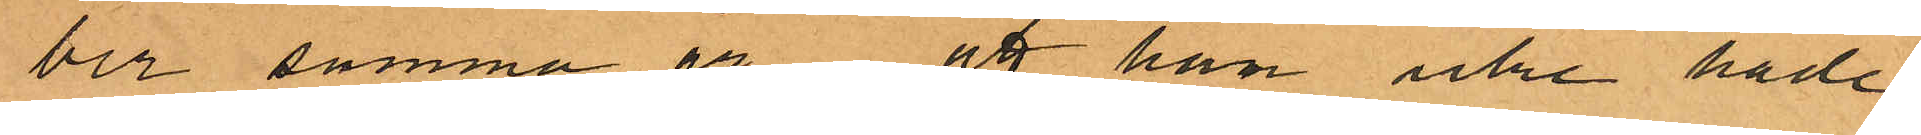ber samma år att han icke hade
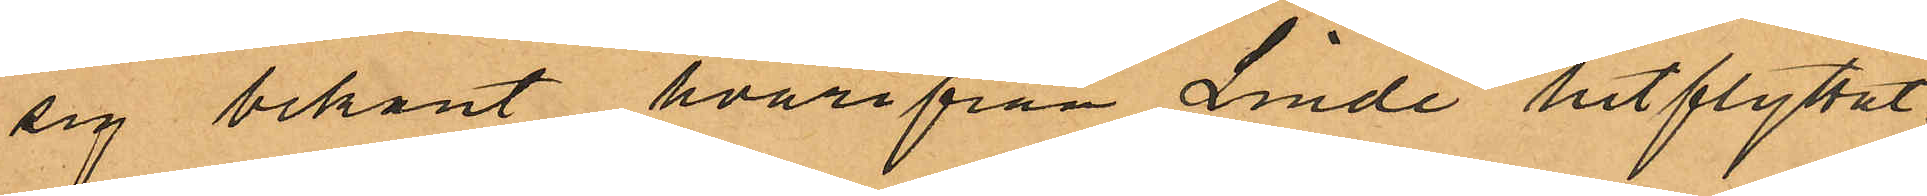sig bekant hvarifrån Linde hitflyttat;
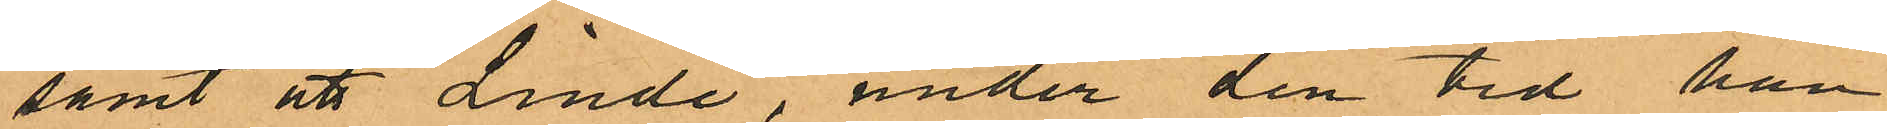samt att Linde, under den tid han
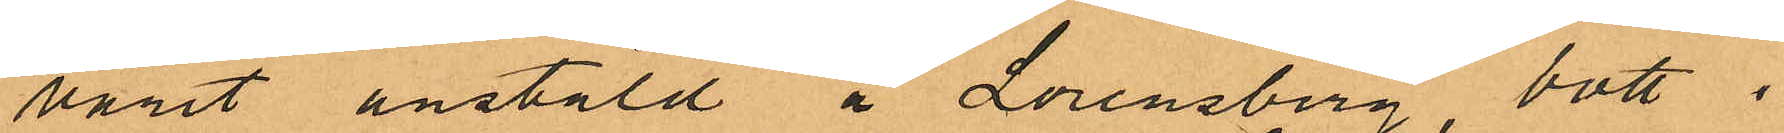varit anstäld å Lorensberg bott i
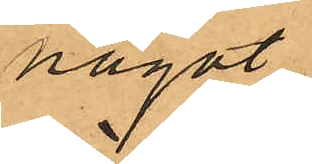något
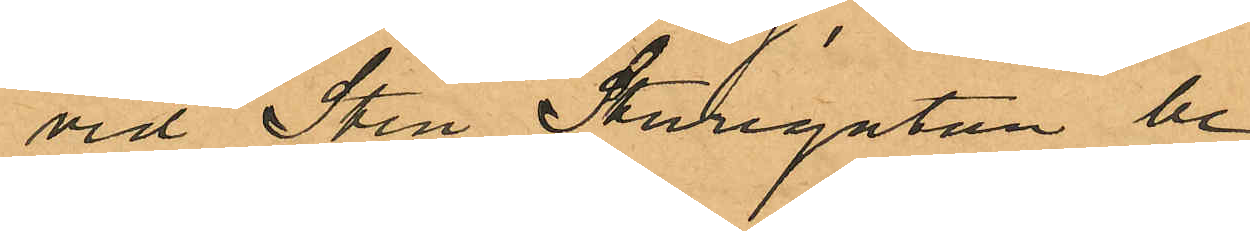vid Sten Sturegatan be¬
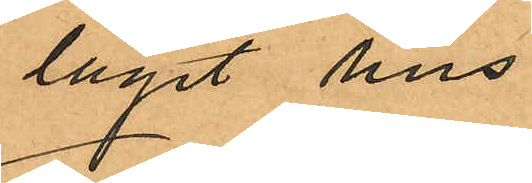läget hus.
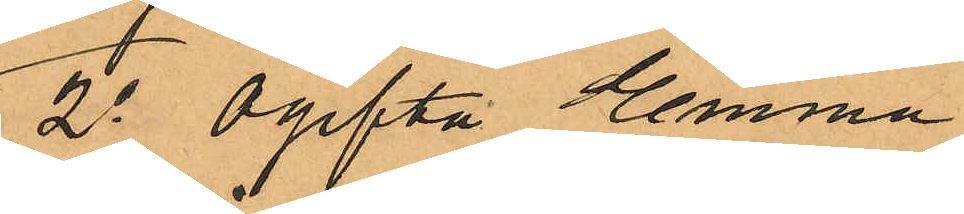2o Ogifta Emma
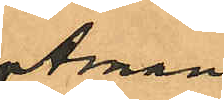Åman
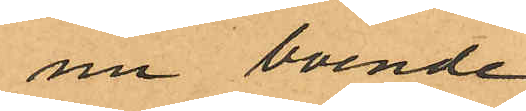nu boende
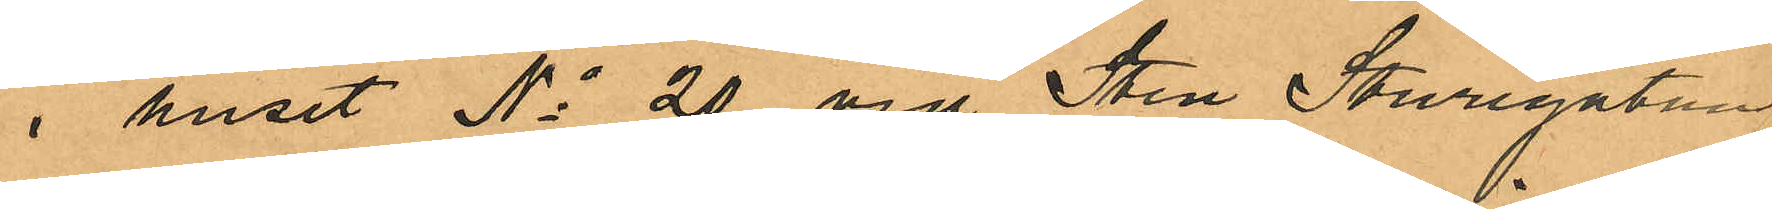i huset No 20 vid Sten Sturegatan,
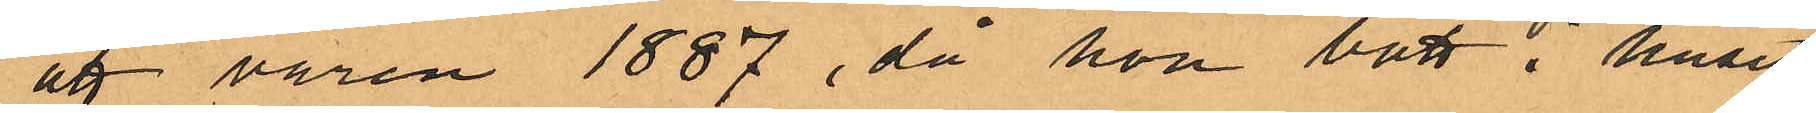att våren 1887, då hon bott i huset
